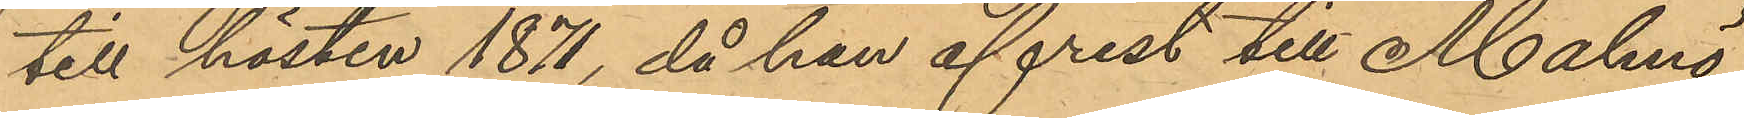till hösten 1871, då han afrest till Malmö;
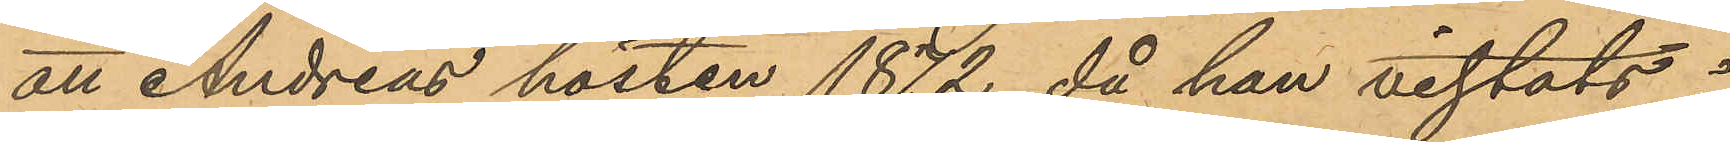att Andreas hösten 1872, då han vistats i
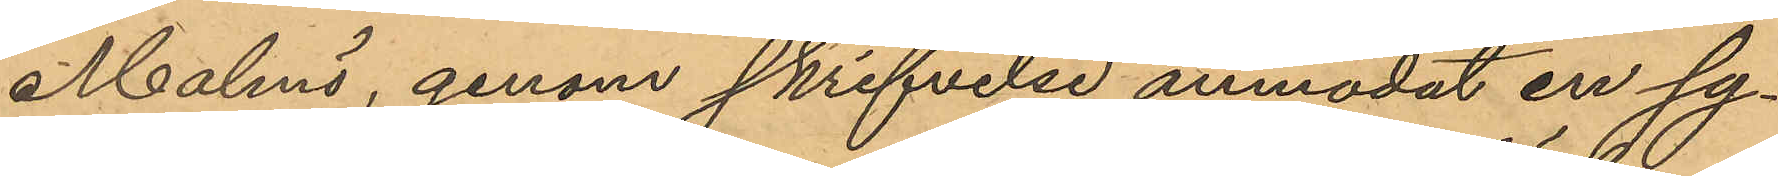Malmö, genom skrifvelse anmodat en sy¬
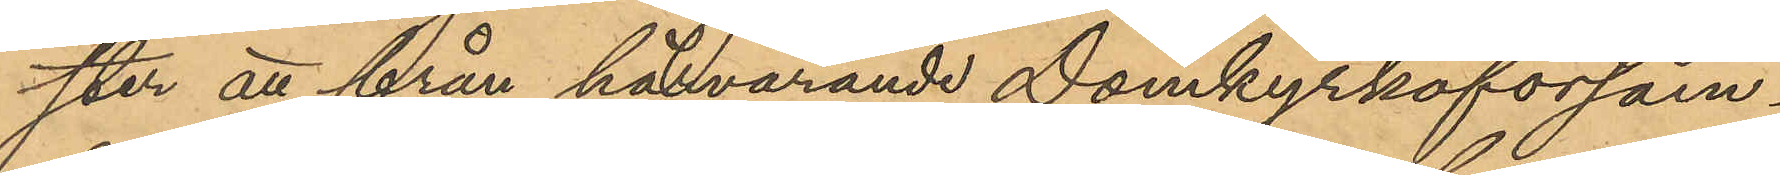ster att från härvarande Domkyrkoförsam¬
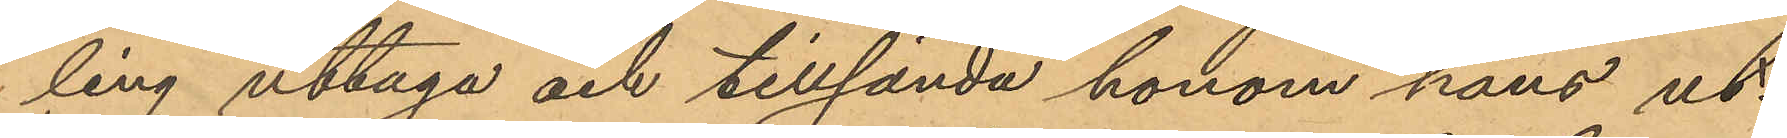ling uttaga och tillsända honom hans ut¬
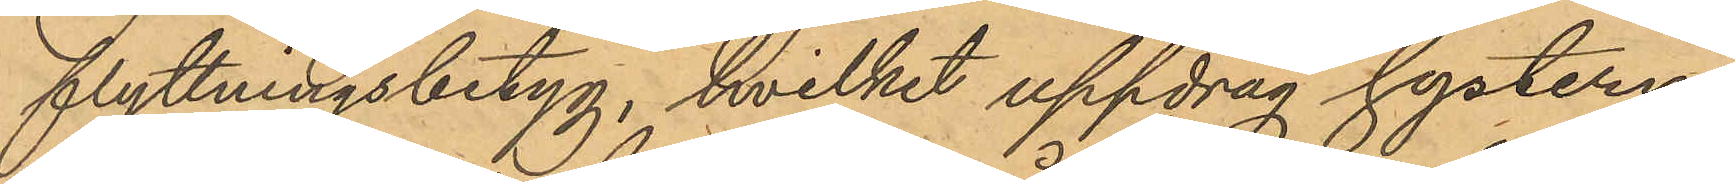flyttningsbetyg, hvilket uppdrag systern
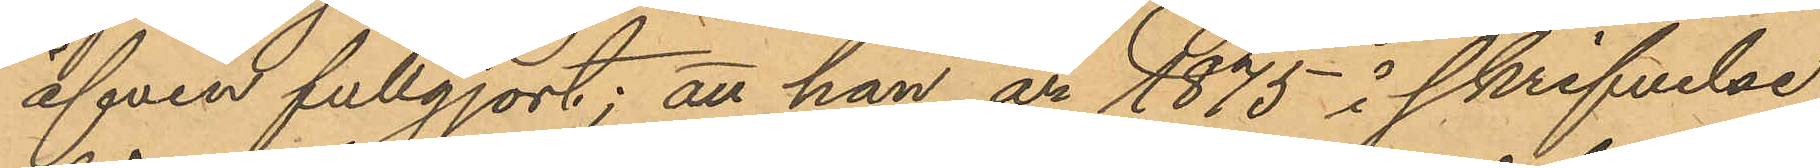äfven fullgjort; att han år 1875 i skrifvelse
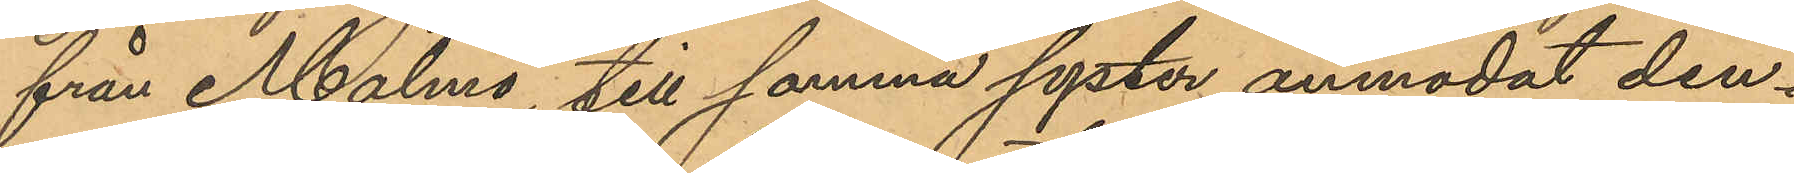från Malmö, till samma syster anmodat den¬
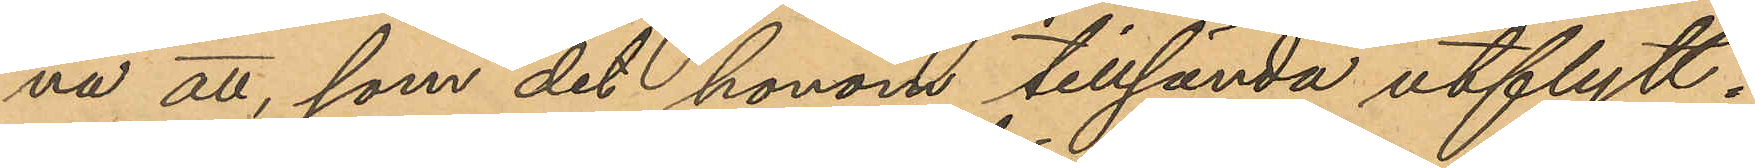na att, som det honom tillsända utflytt
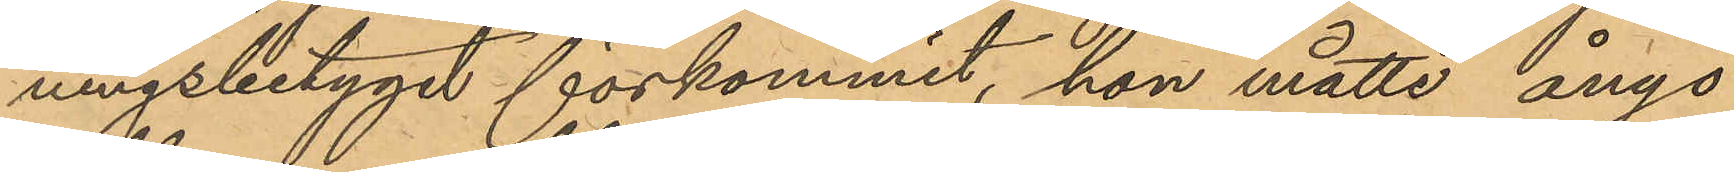ningsbetyget förkommit, hon måtte ånyo
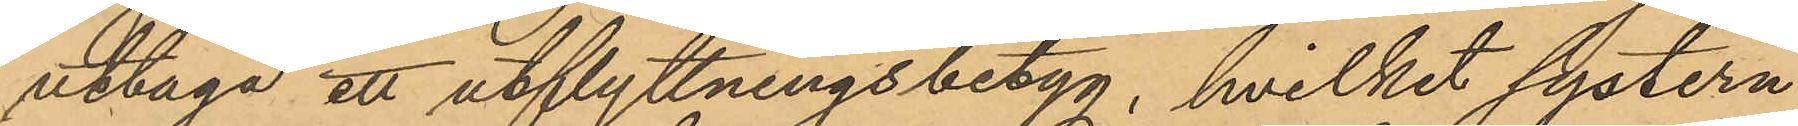uttaga ett utflyttningsbetyg, hvilket systern
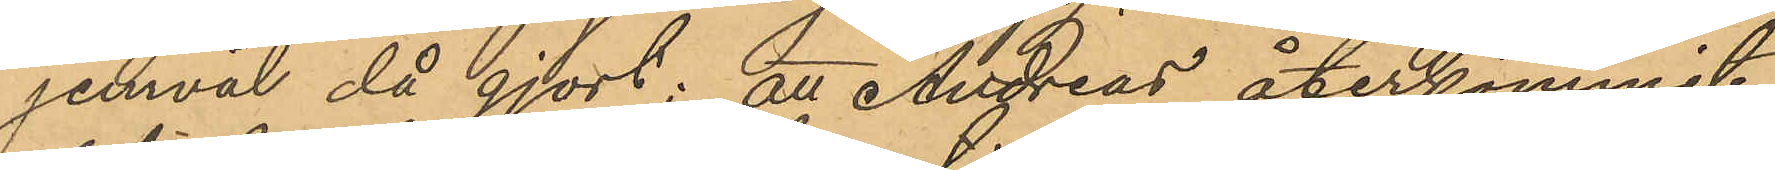jemväl då gjort; att Andreas återkommit
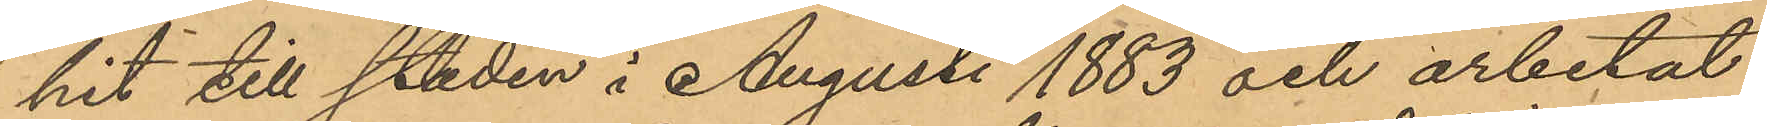hit till staden i Augusti 1883 och arbetat
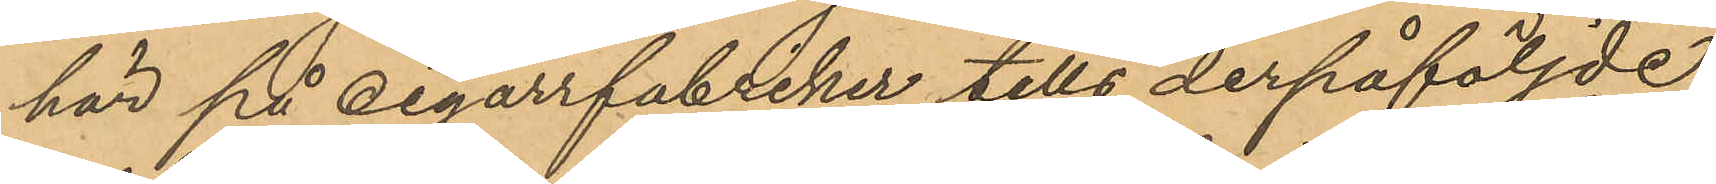här på cigarrfabriker tills derpåföljde
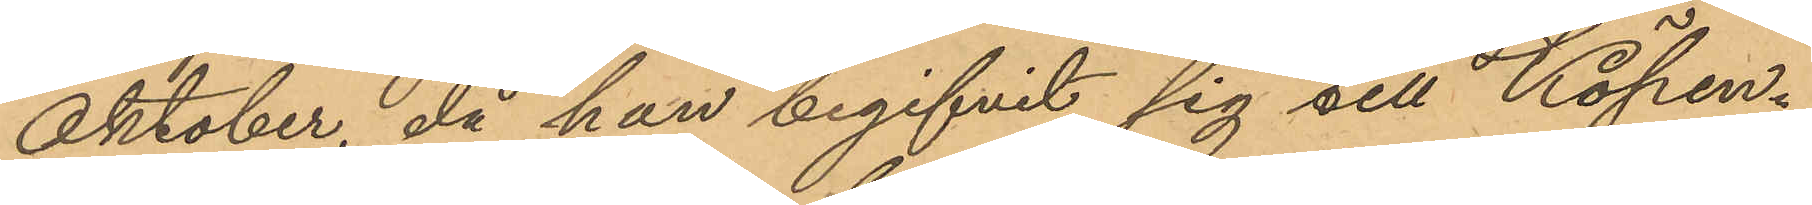Oktober, då han begifvit sig till Köpen¬
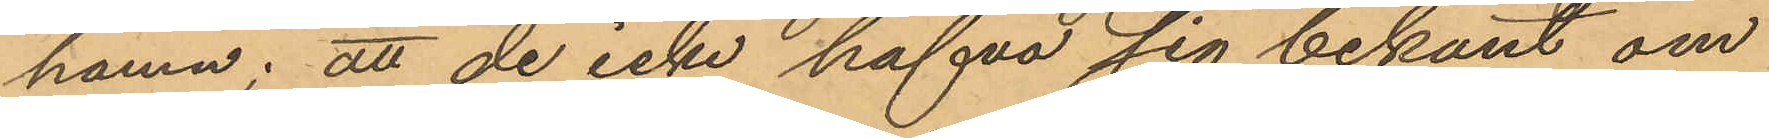hamn; att de icke hafva sig bekant om
